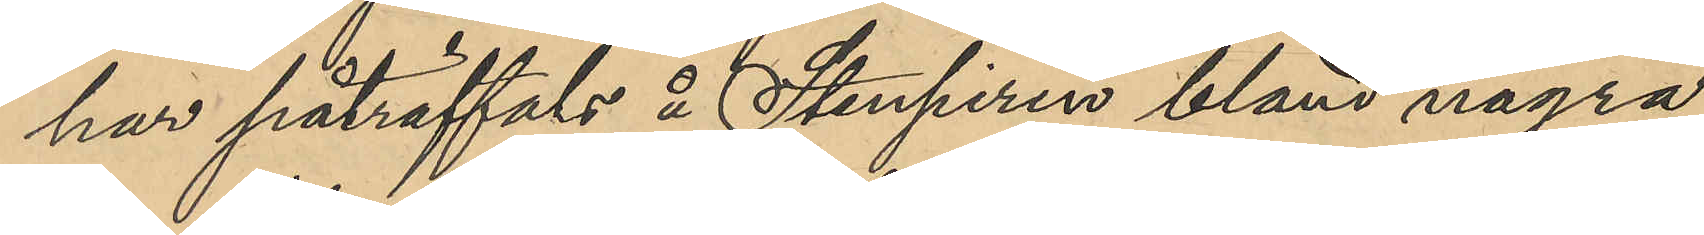har påträffats å Stenpiren bland några
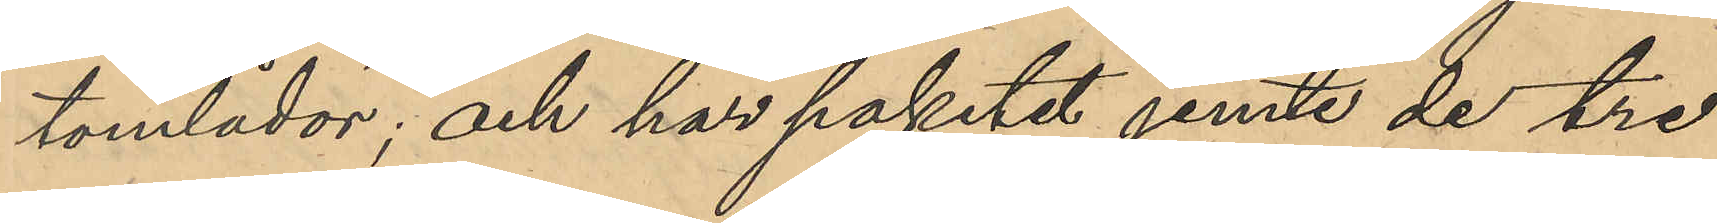tomlådor, och har paketet jemte de tre
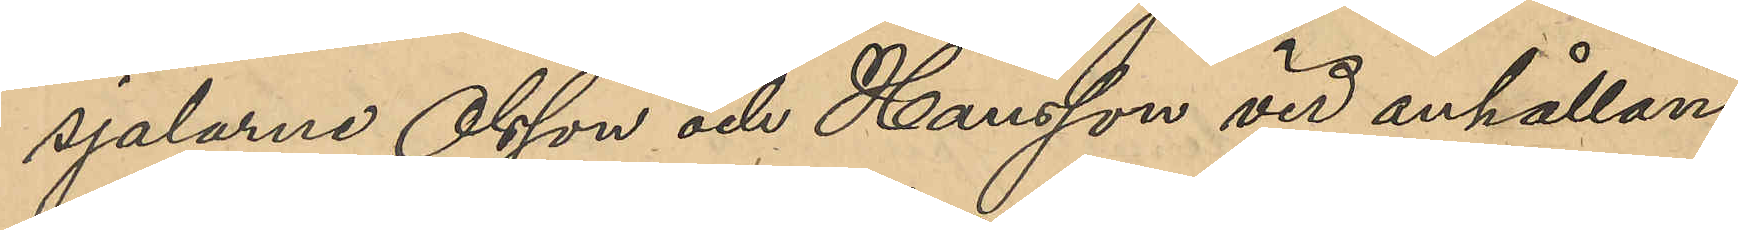sjalarna Olsson och Hansson vid anhållan¬
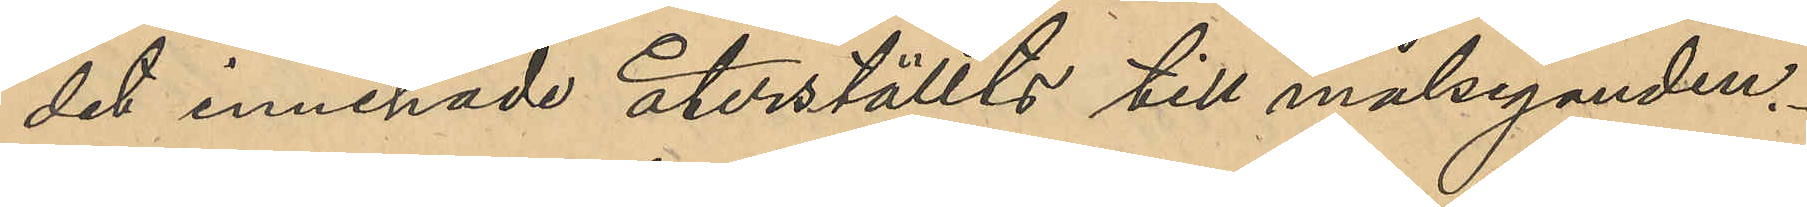det innehade återställts till målseganden.
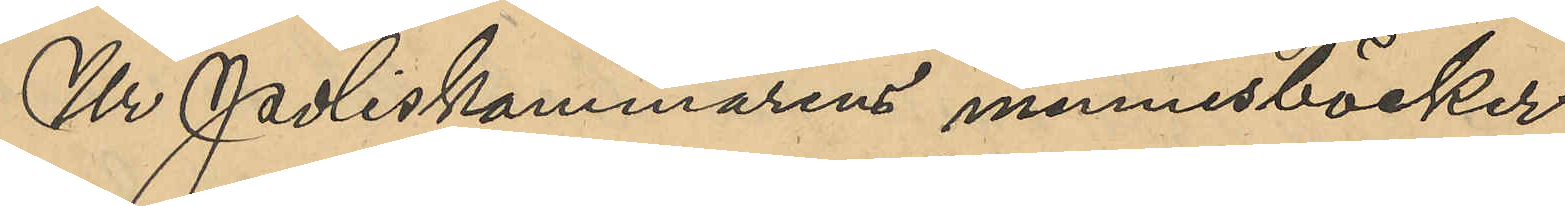Ur Poliskammarens minnesböcker
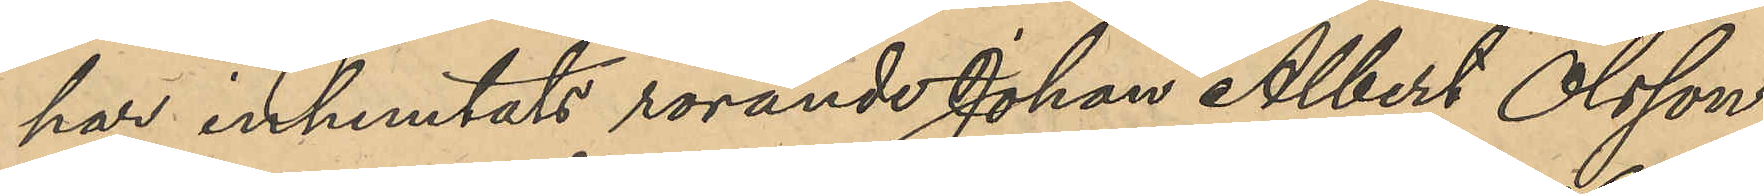har inhemtats rörande Johan Albert Olsson;
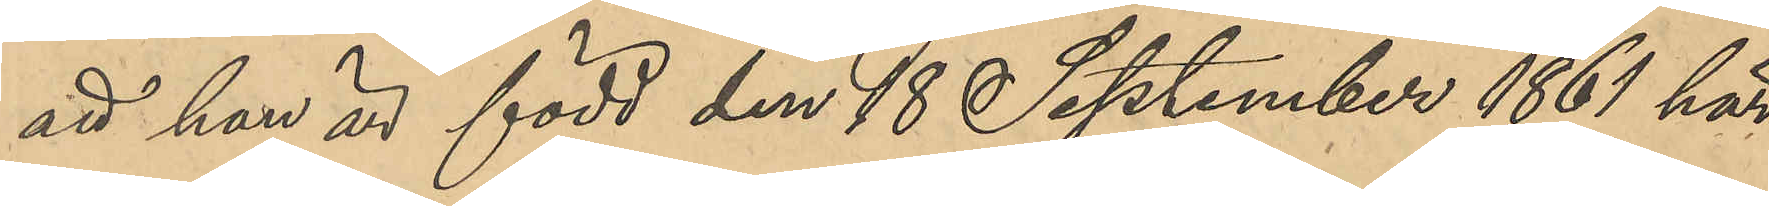att han är född den 18 September 1861 här
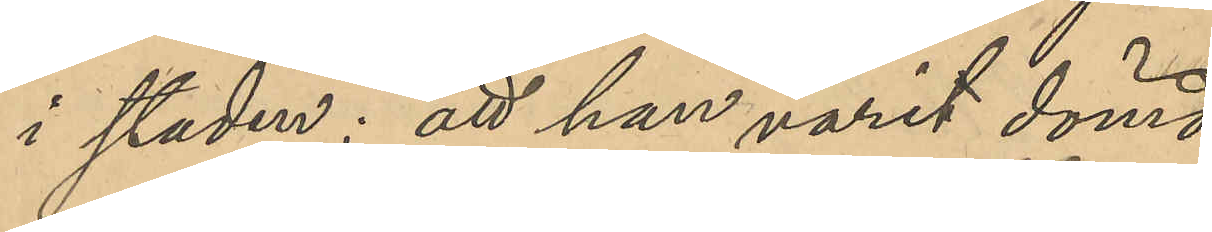i staden; att han varit dömd:
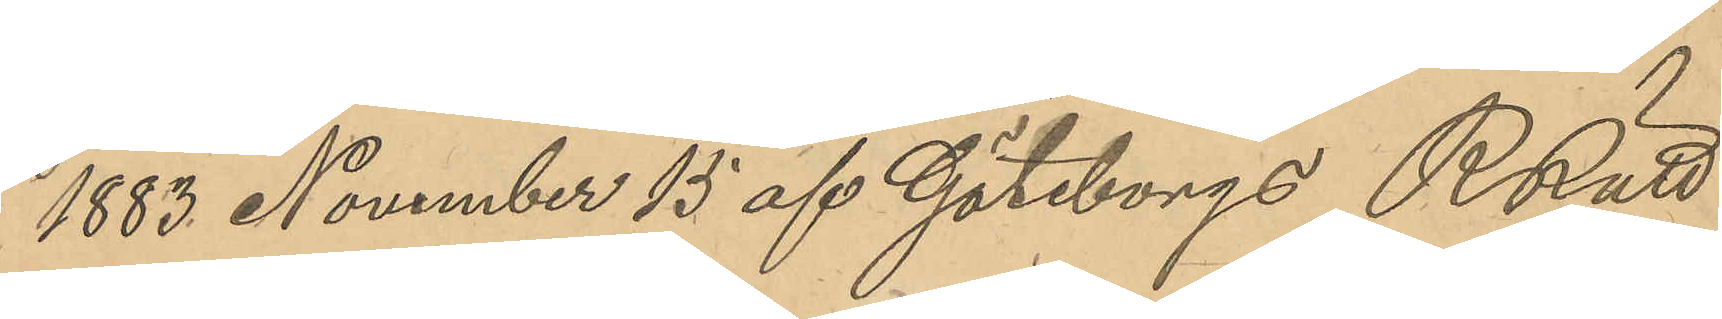1883 November 15 af Göteborgs RRätt
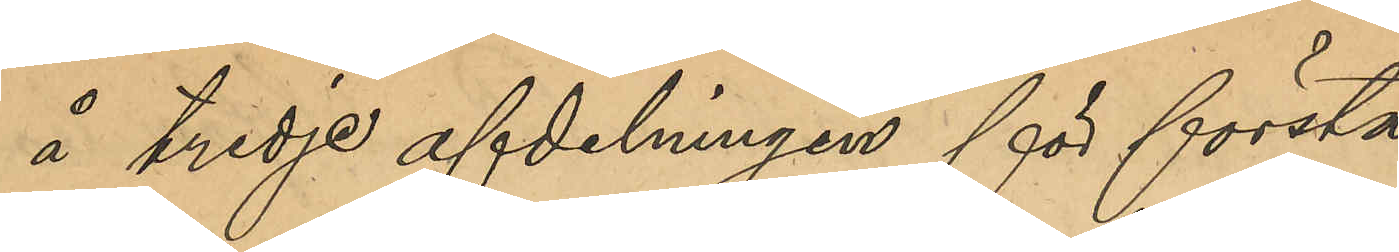å tredje afdelningen för första
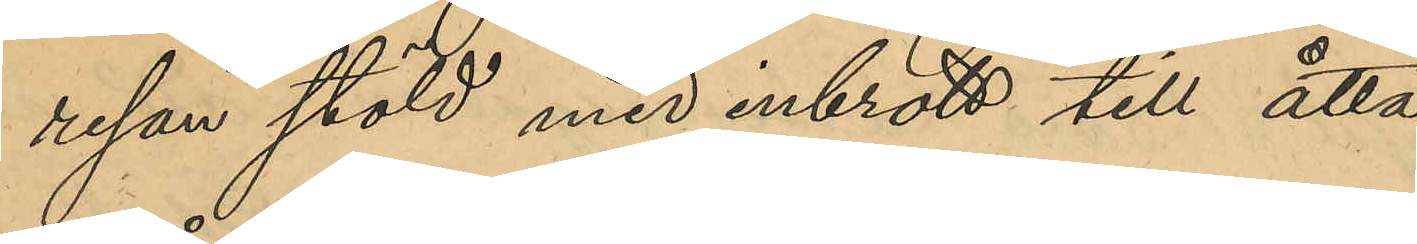resan stöld med inbrott till åtta
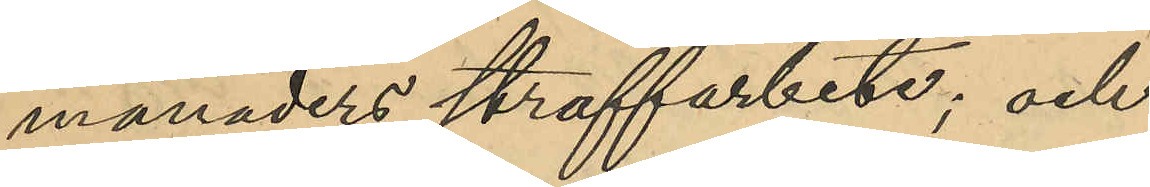månaders straffarbete; och
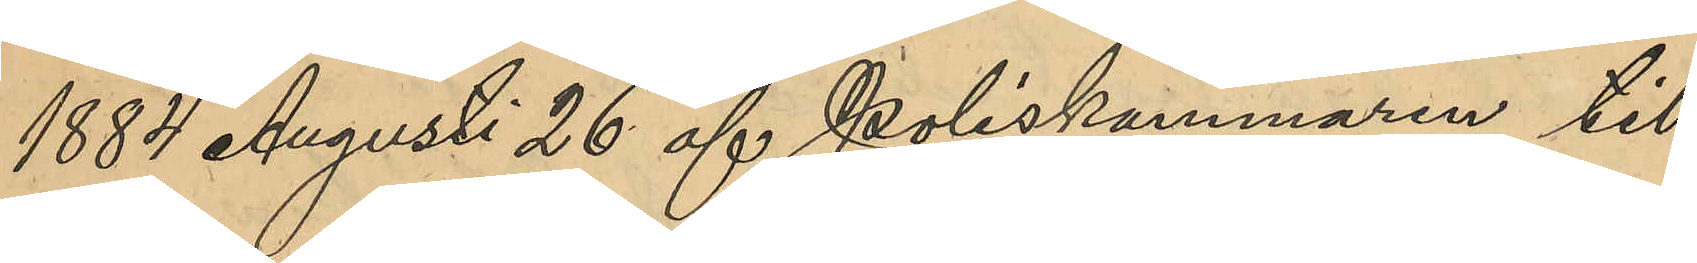1884 Augusti 26 af Poliskammaren till
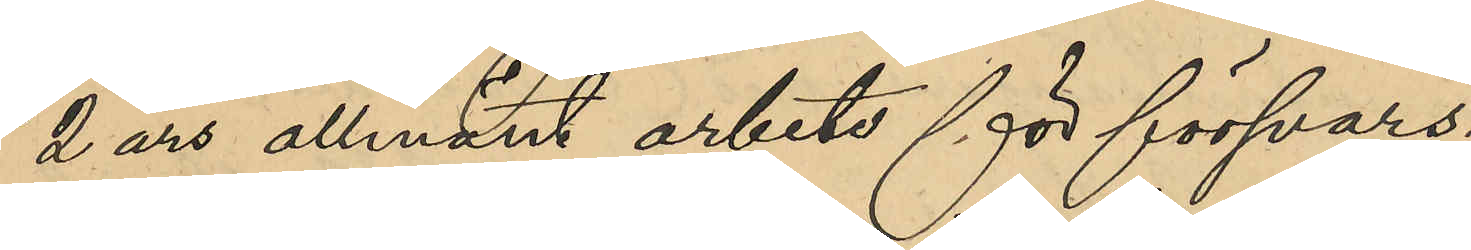2 års allmänt arbete för försvars¬
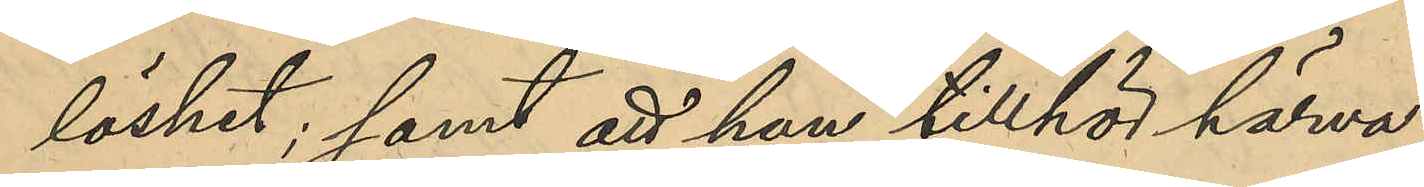löshet, samt att han tillhör härva¬
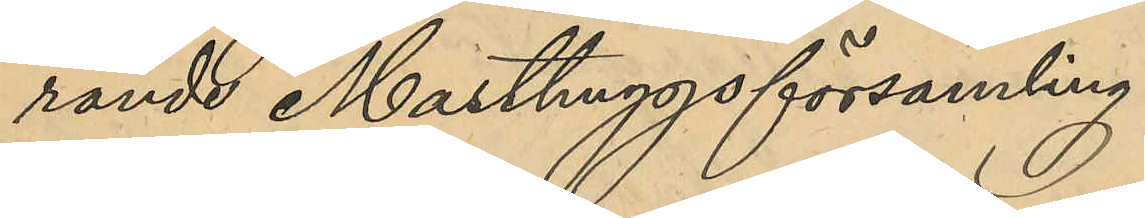rande Masthuggsförsamling
